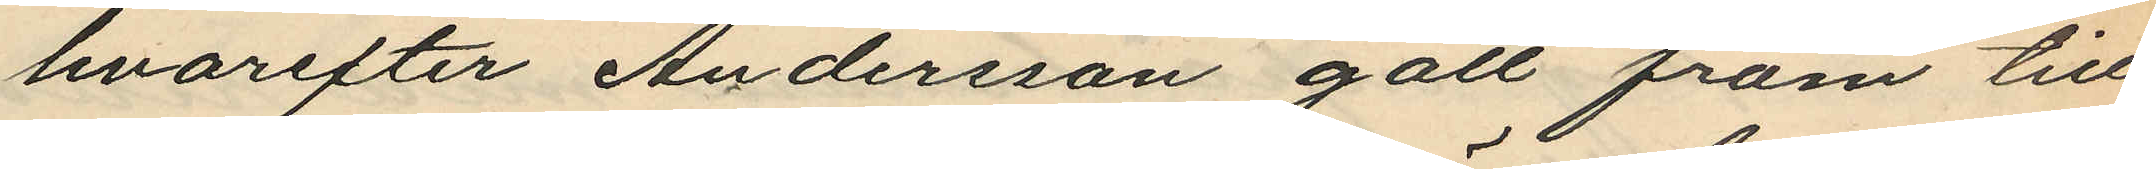hvarefter Andersson gått fram till
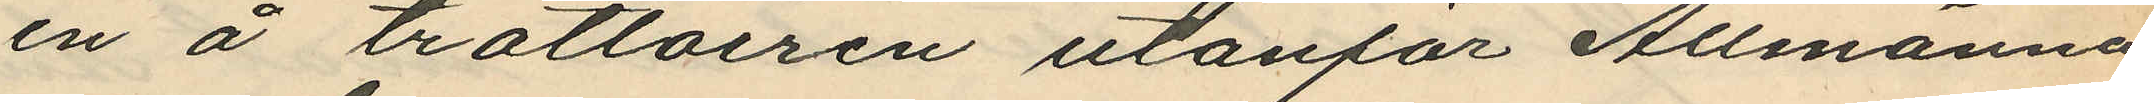en å trottoiren utanför Allmänna
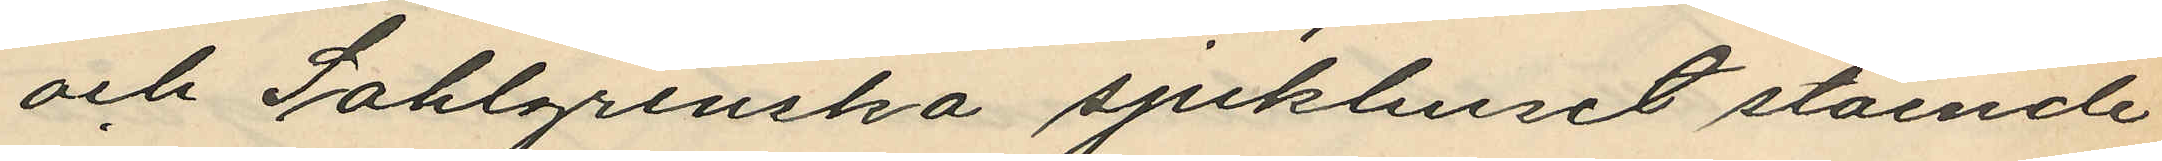och Sahlgrenska sjukhuset stående
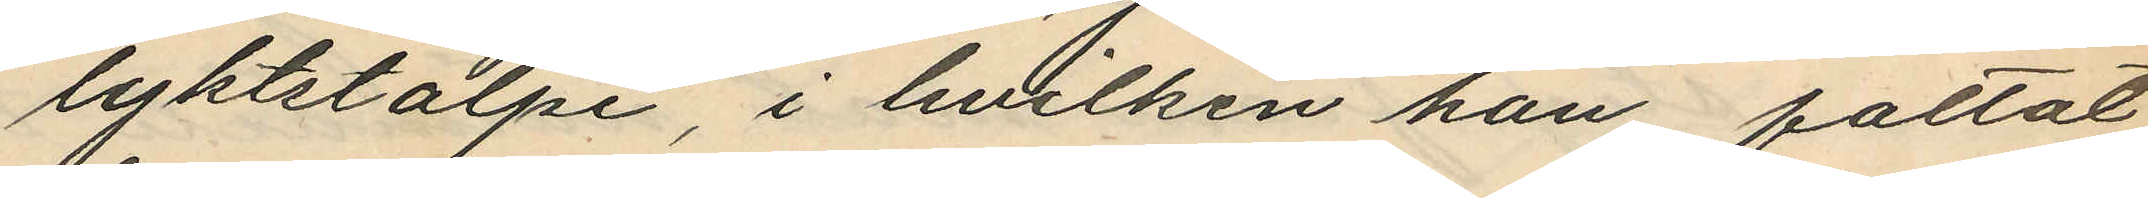lyktstolpe, i hvilken han fattat
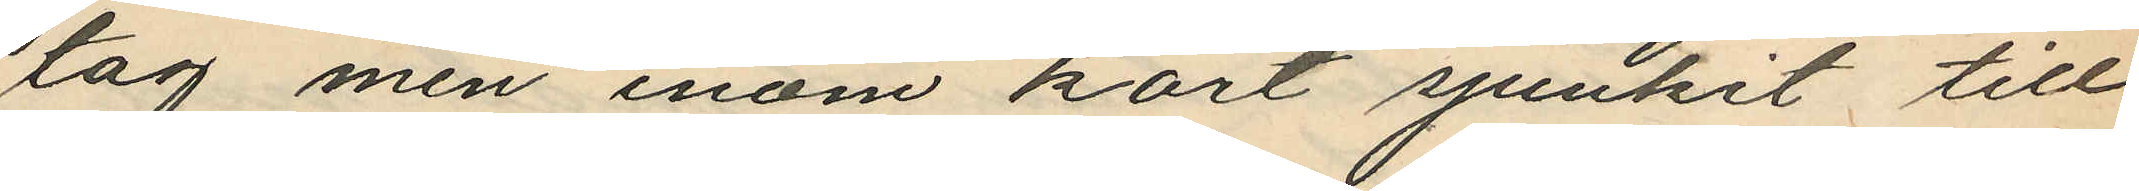tag men inom kort sjunkit till
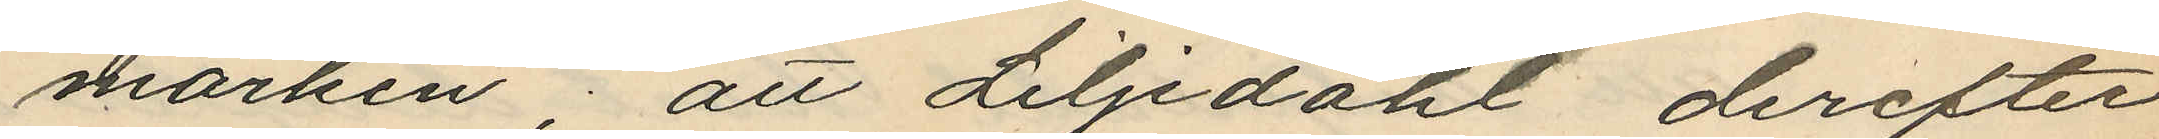marken; att Liljedahl, derefter
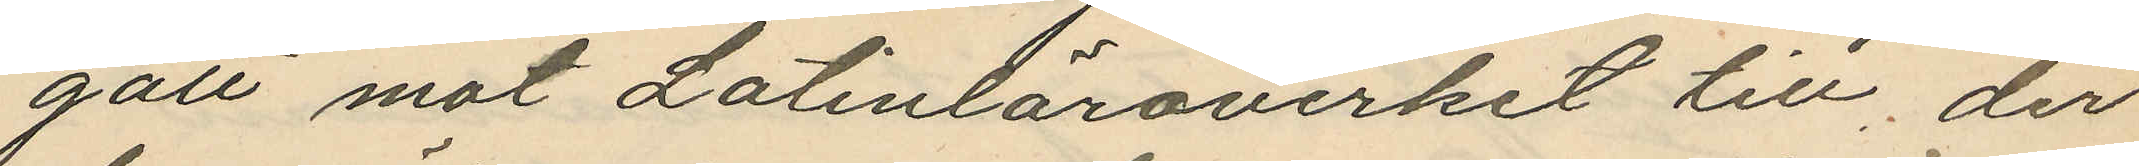gått mot Latinläroverket till, der
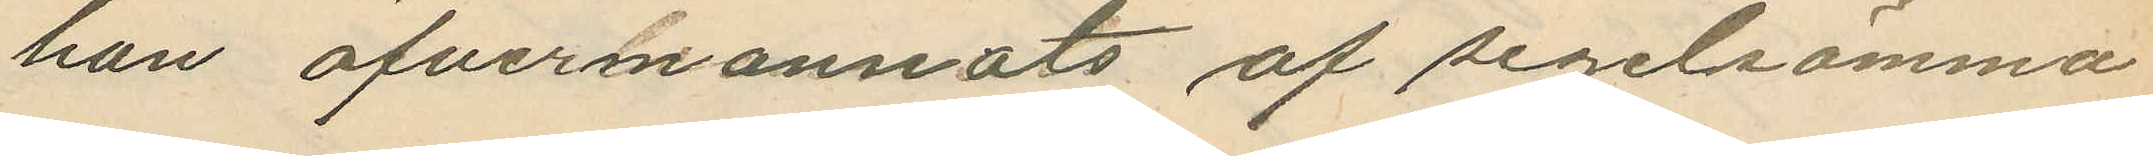han öfvermannats af segelsömma¬
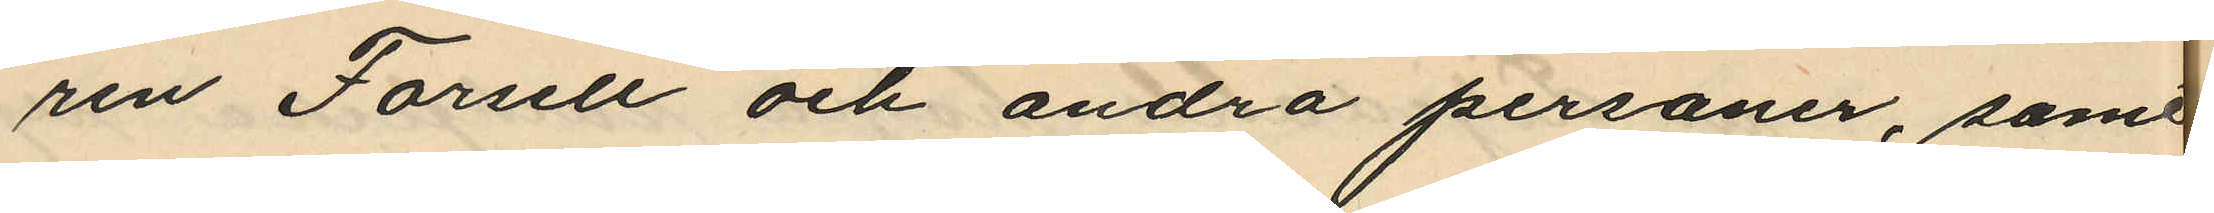ren Forsell och andra personer, samt
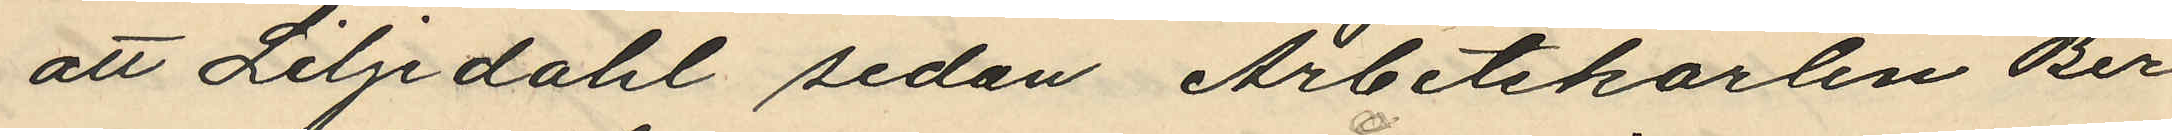att Liljedahl sedan Arbetskarlen Ber¬
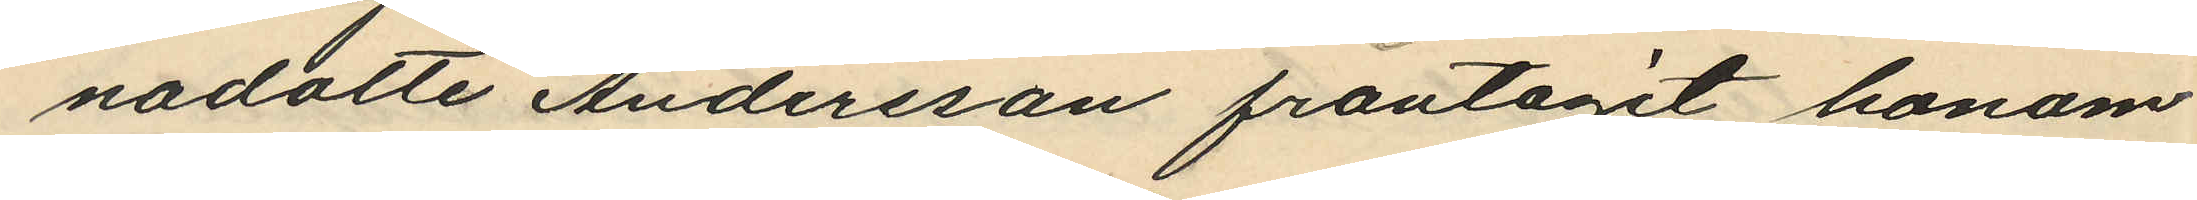nadotte Andersson fråntagit honom
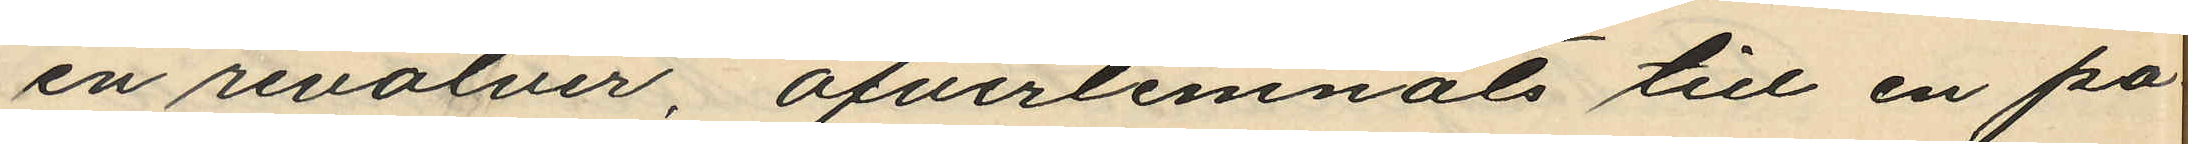en revolver, öfverlemnats till en po¬
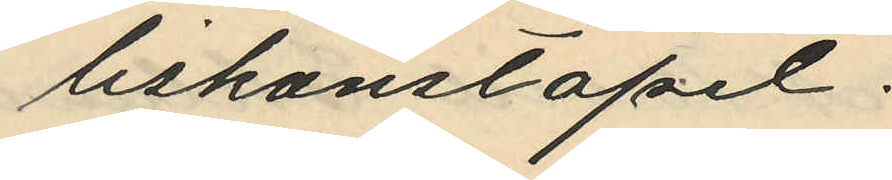liskonstapel.
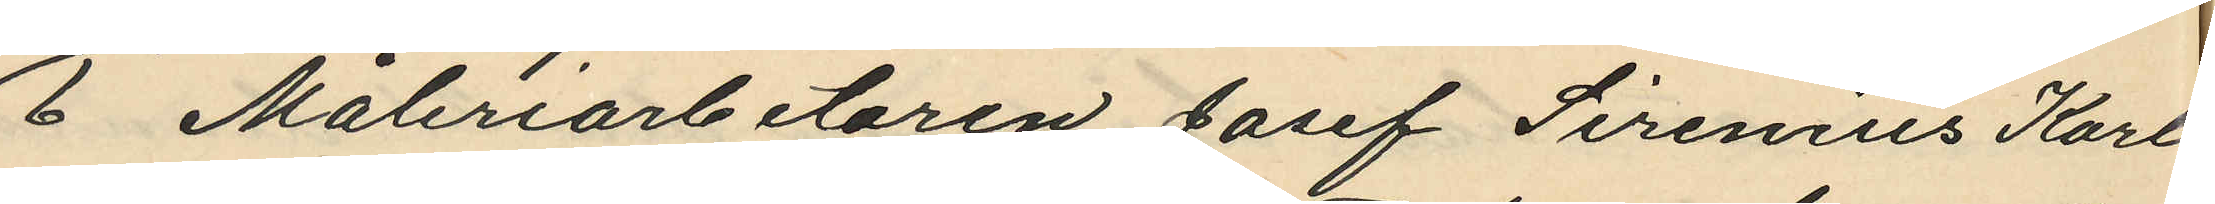6 Måleriarbetaren Josef Sirenius Karl¬
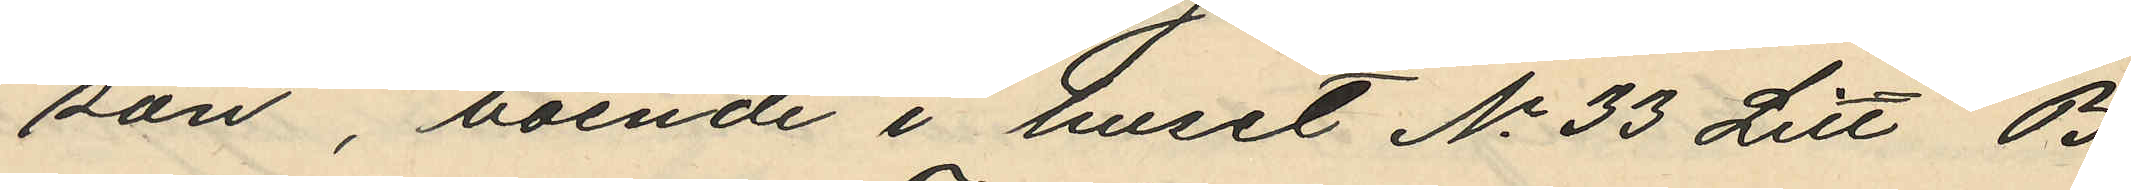son, boende i huset No 33 Litt B.
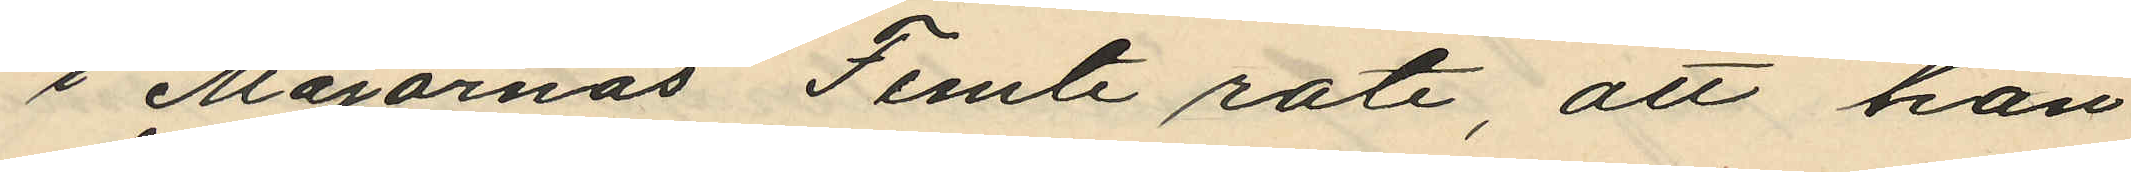i Majornas Femte rote, att han
